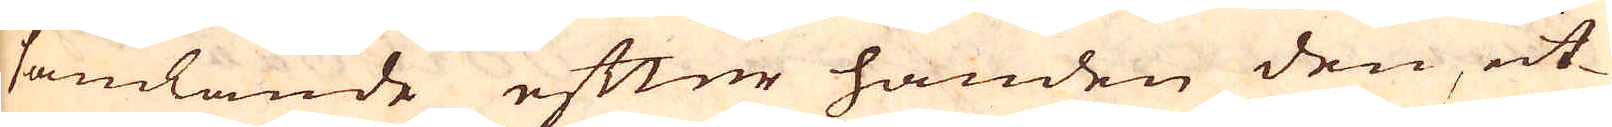samlande efter handen den, ut-
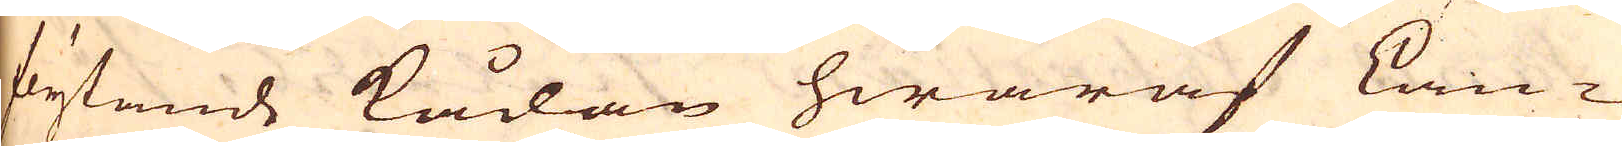flytande kådan hwaraf Lan-
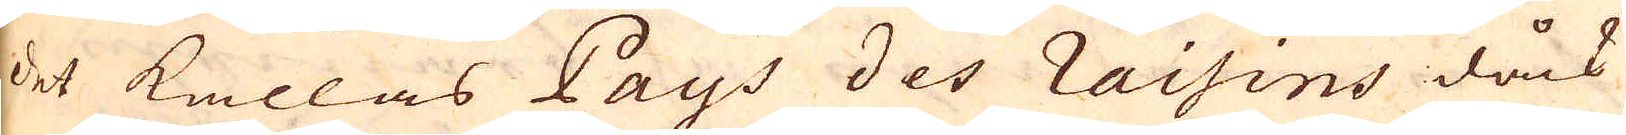det kallas Pays des raisins dåck
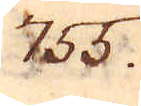755.
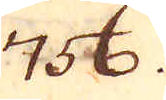756.
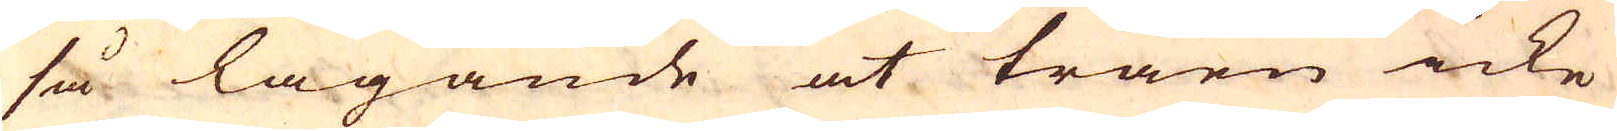så lagande at träen icke
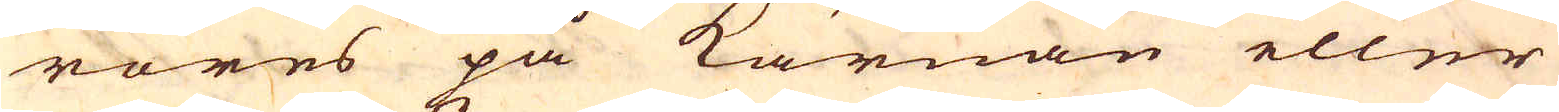röres på kärnan eller
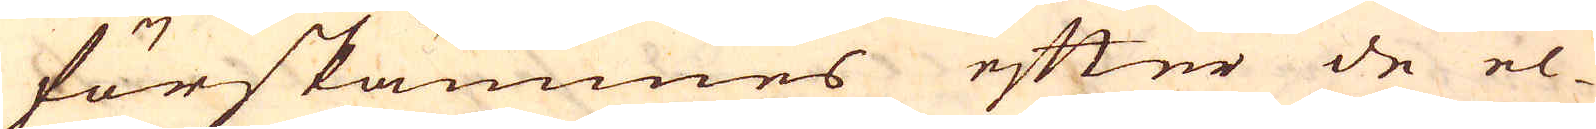förskämmes efter de el-
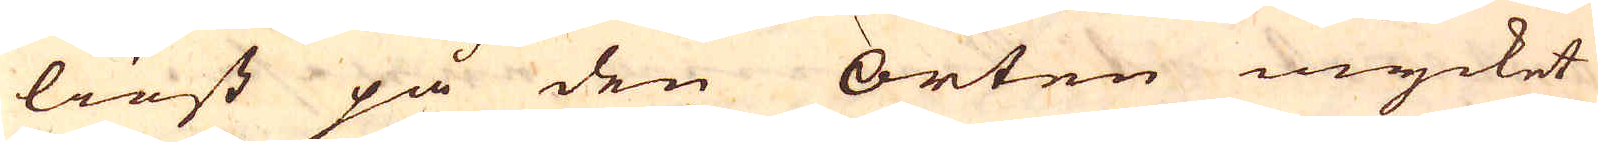liest på den orten mycket
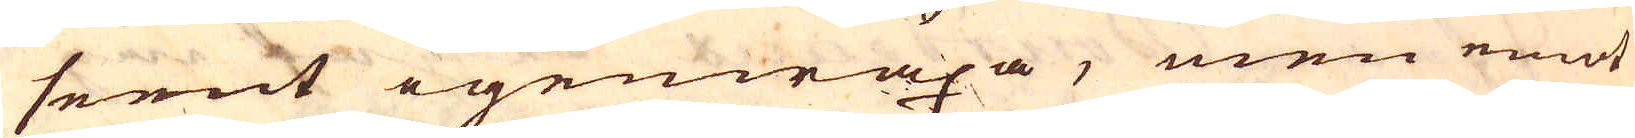seent igenwäxa, men emot
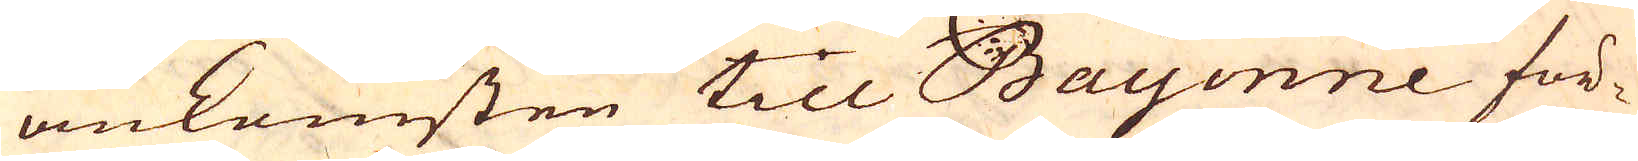omkomsten till Bayenne för-
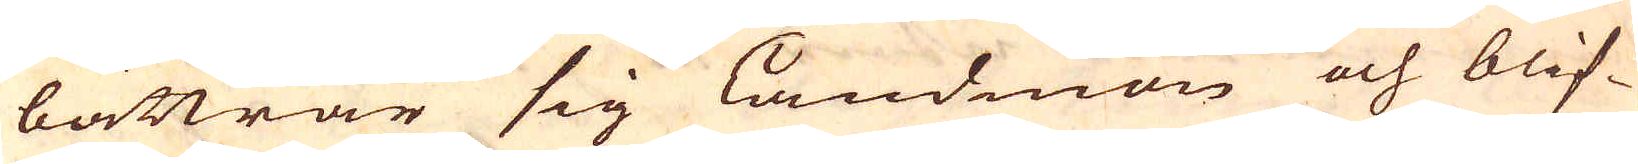bättrar sig landmon och blif-
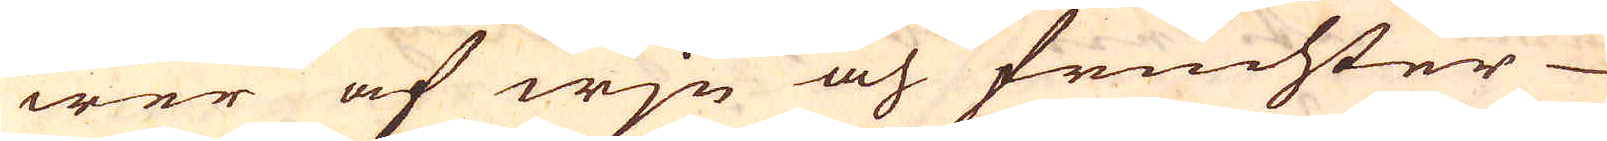wer af wjn och fruchter
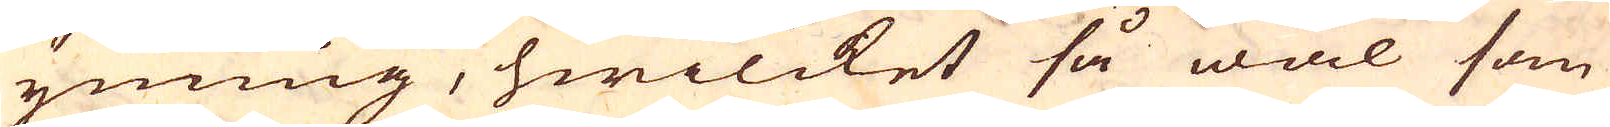ynnnng, hwilcket så wäl som
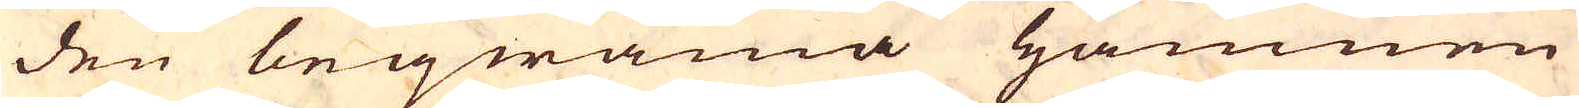den beqwäma hamnen
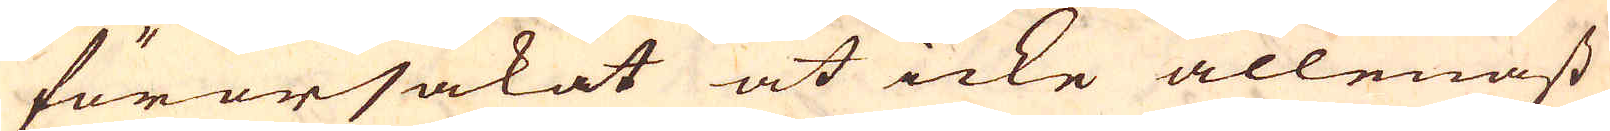förorsakat at icke allenast
